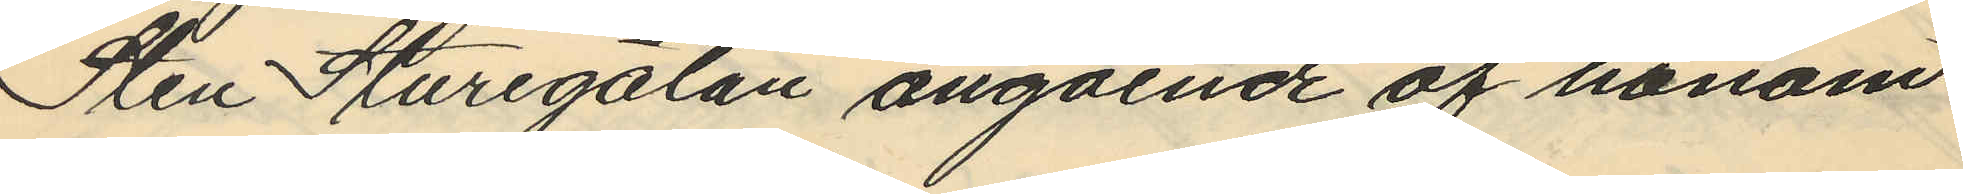Sten Sturegatan angående af honom
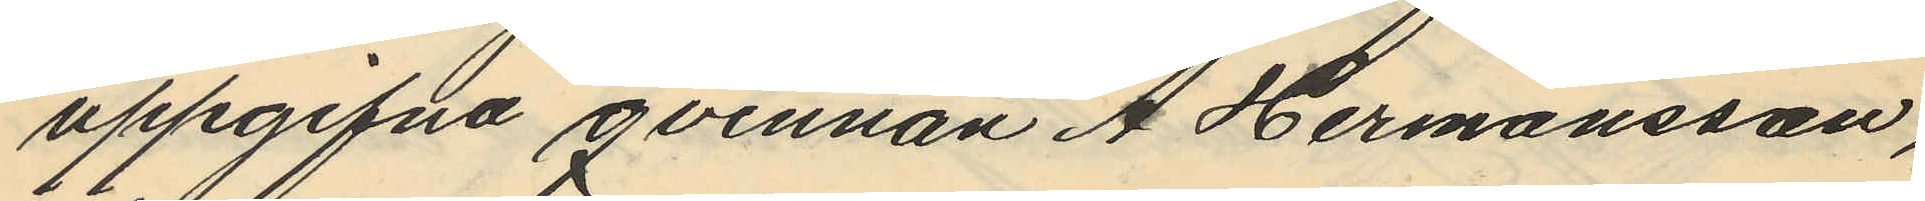uppgifna qvinnan A. Hermansson,
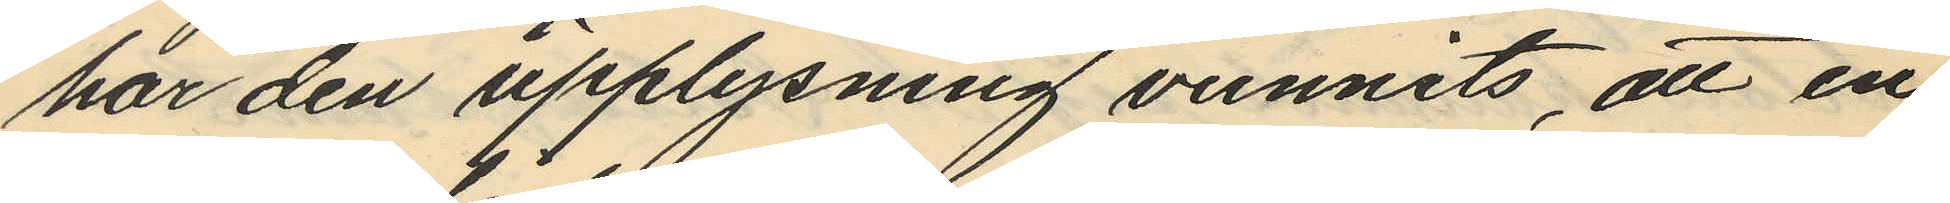har den upplysning vunnits, att en
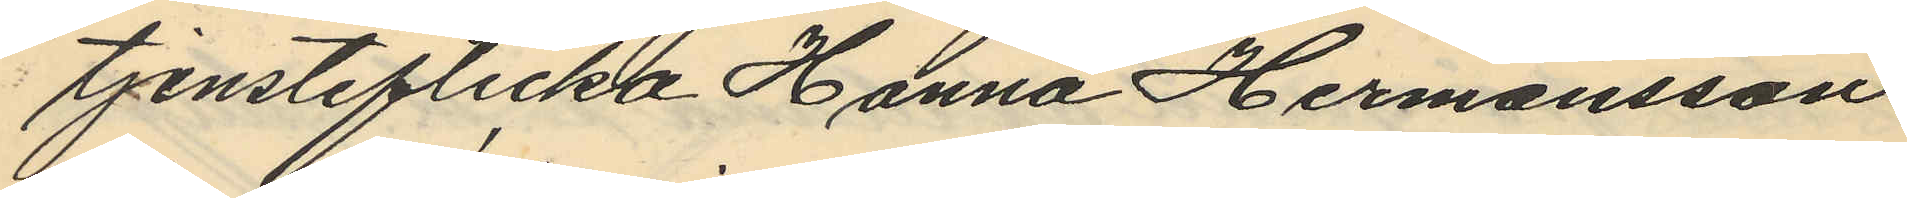tjensteflicka Hanna Hermansson
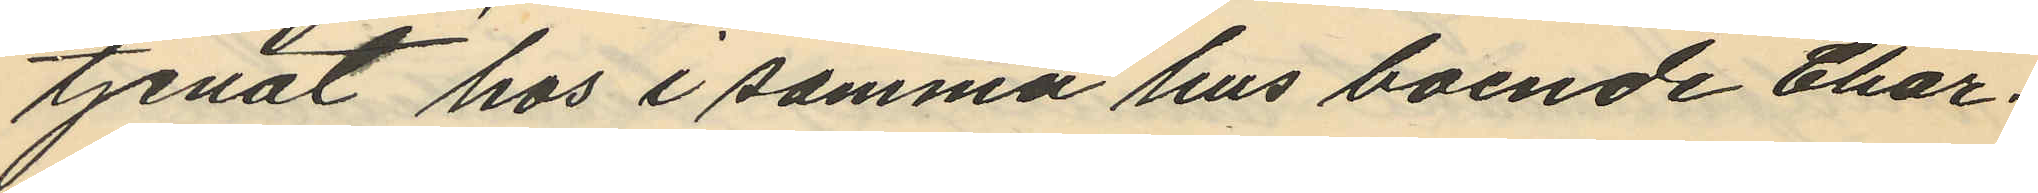tjenat hos i samma hus boende Char¬
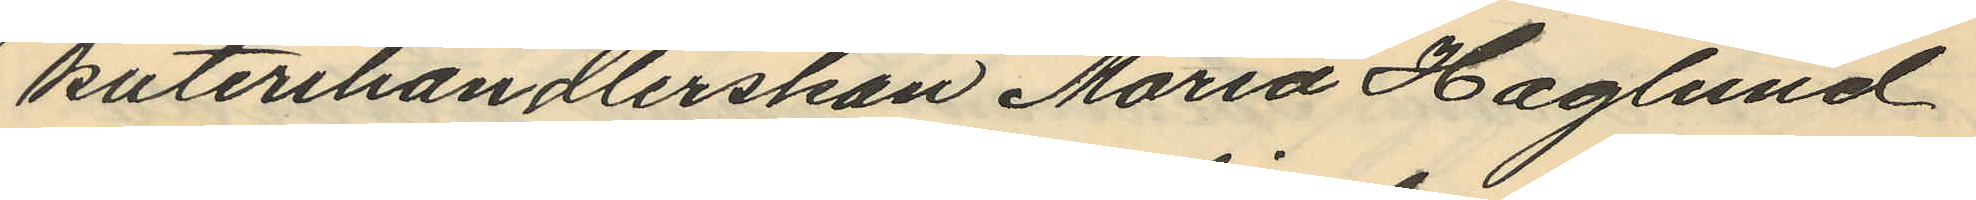kuterihandlerskan Maria Haglund
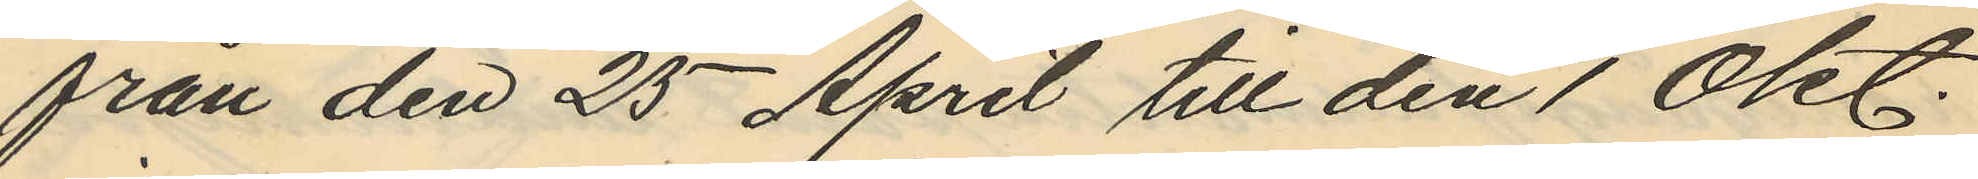från den 25 April till den 1 Okt.
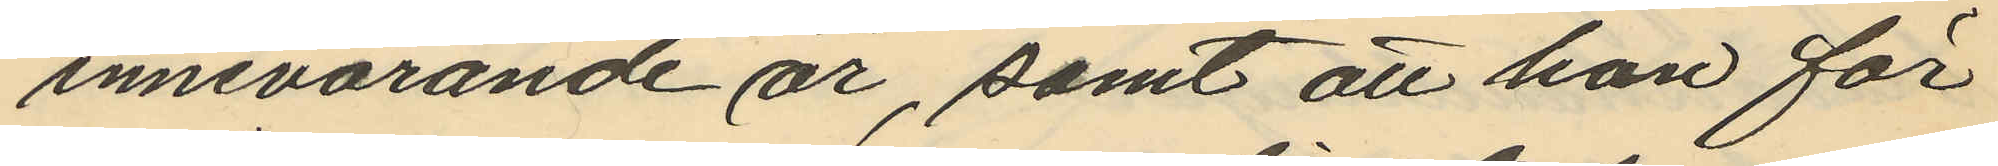innevarande år, samt att hon för
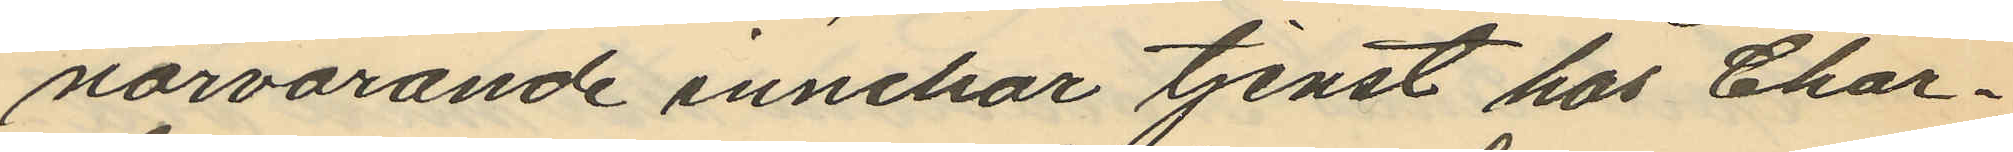närvarande innehar tjenst hos Char¬
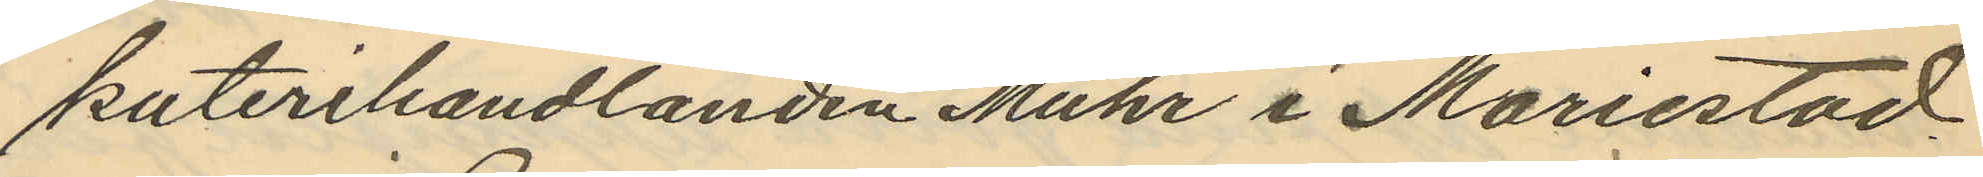kuterihandlanden Muhr i Mariestad.
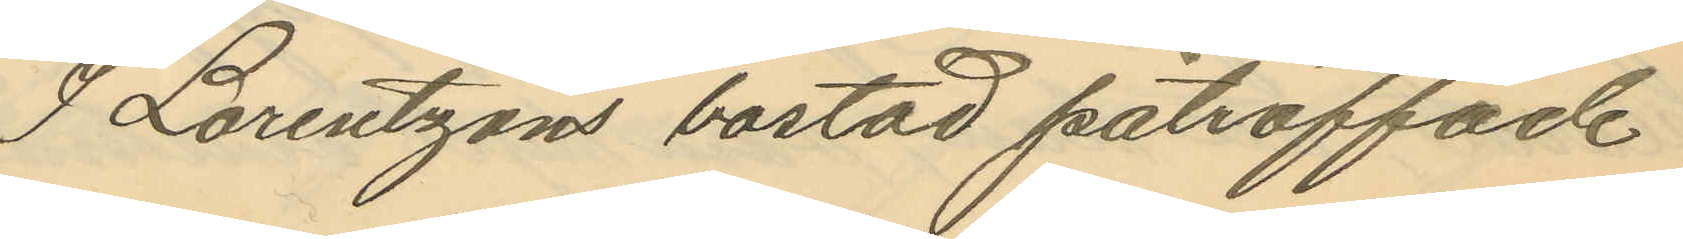I Lorentzons bostad påträffade
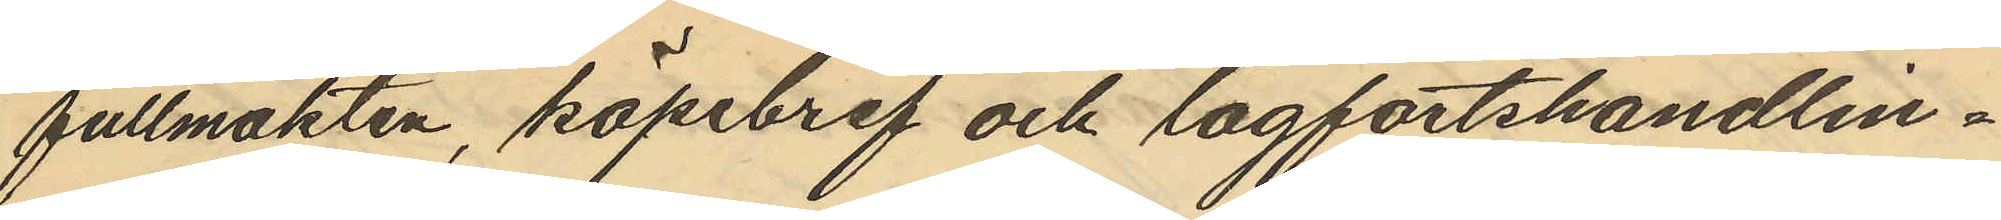fullmakten, köpebref och lagfartshandlin¬
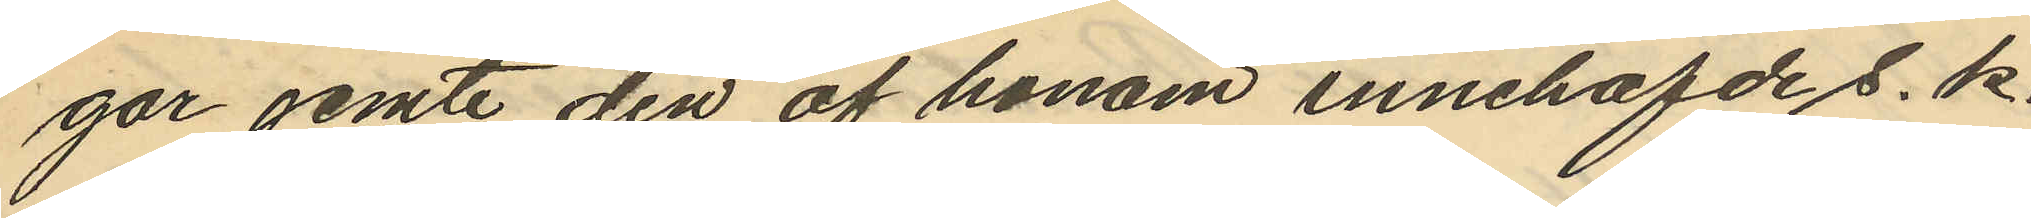gar jemte den af honom innehafde s. k.
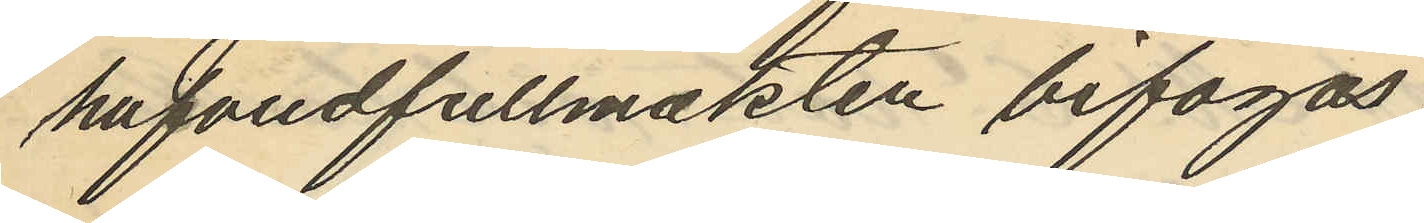hufvudfullmakten bifogas.
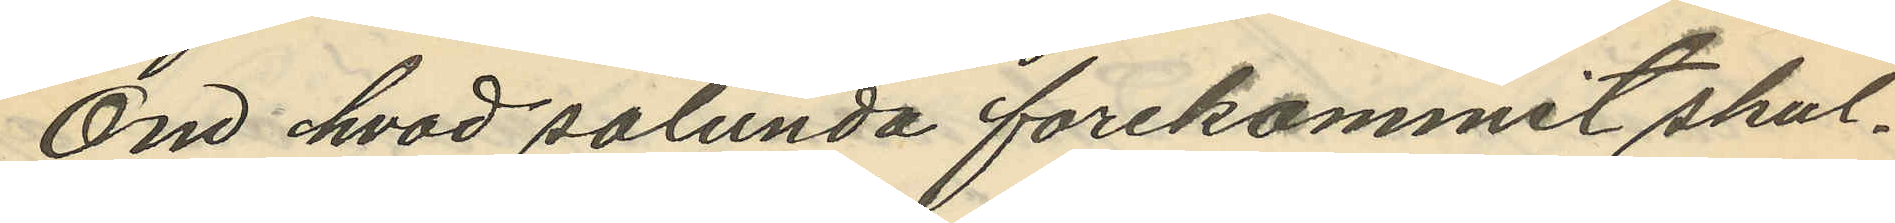Om hvad sålunda forekommit skul¬
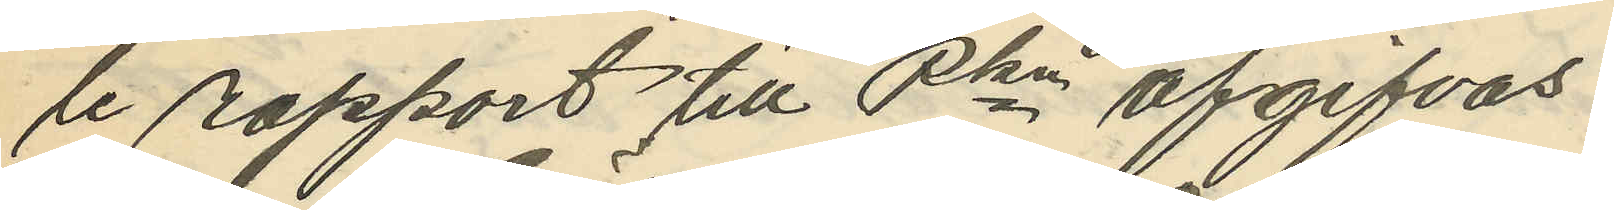te rapport till Pkn afgifvas.
